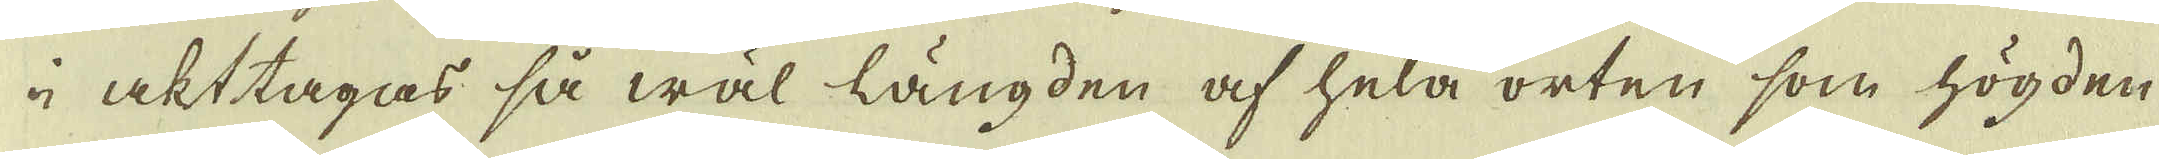i akttagas så wäl längden af hela orten som högden
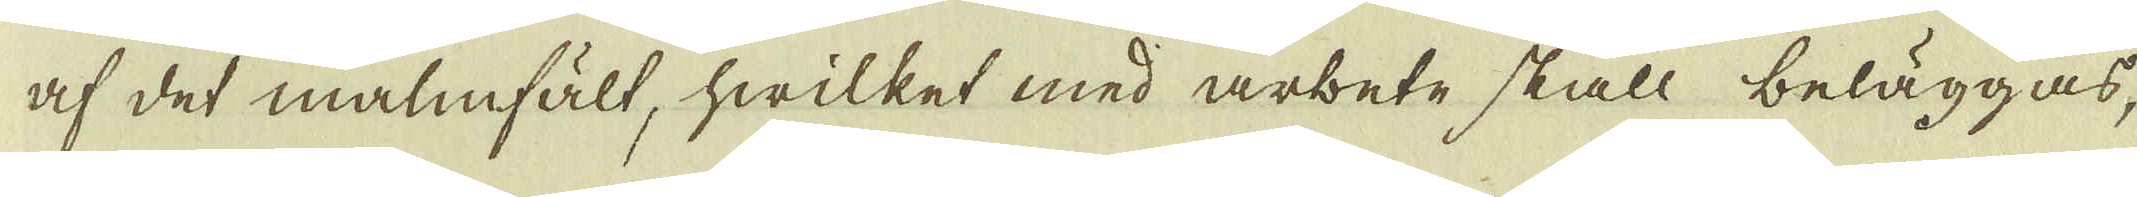af det malmfält, hwilket med arbete skall beläggas,
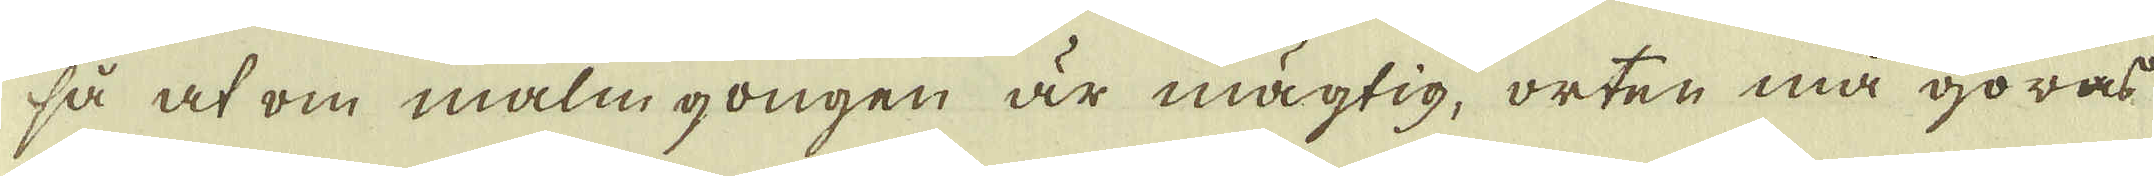så at om malm gongen är mägtig, orten må göras
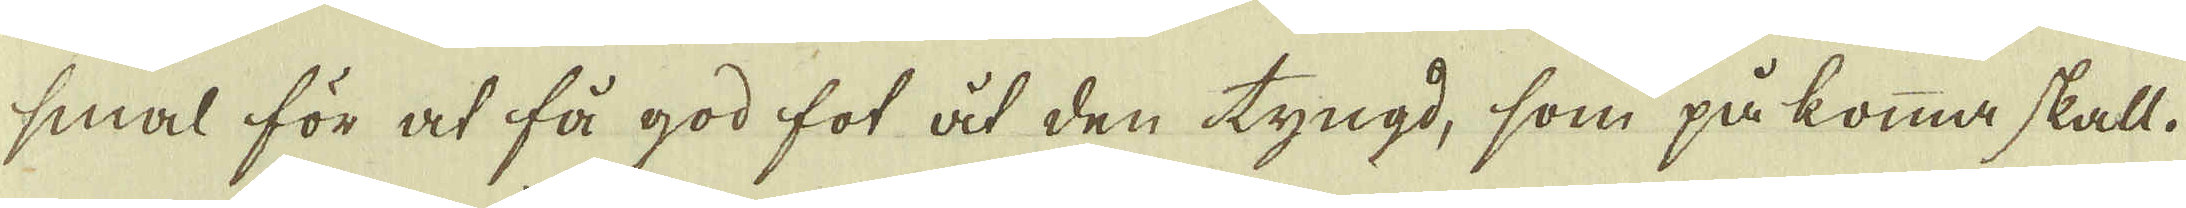smal för at få god fot åt den tyngd, som på komma skall.
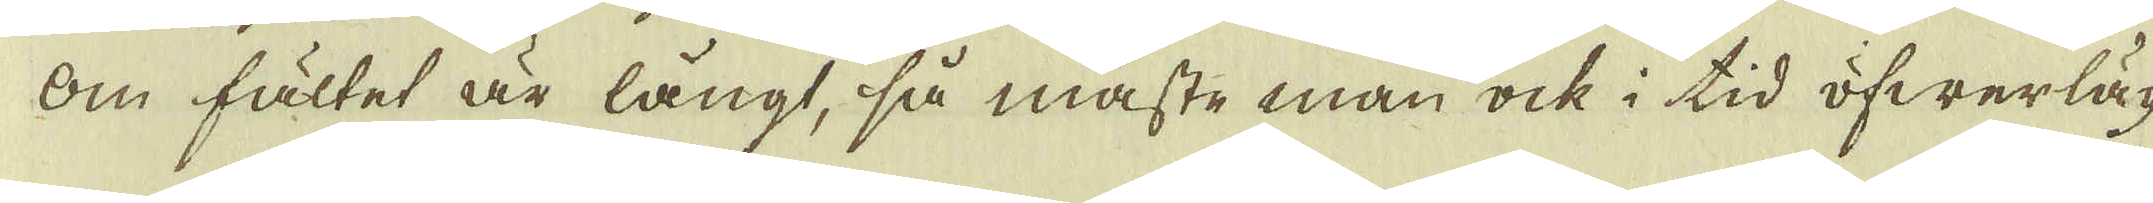Om fältet är långt, så måste man ock i tid öfwerläg-
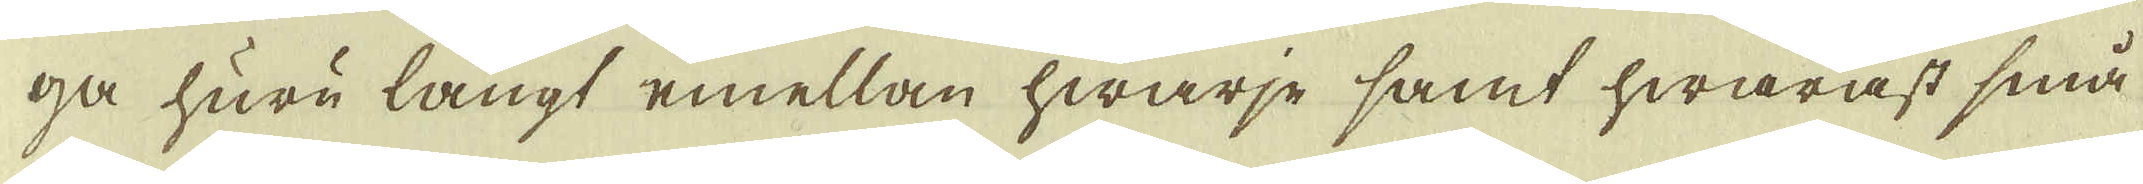ga huru långt emellan hwarje samt hwaräst små
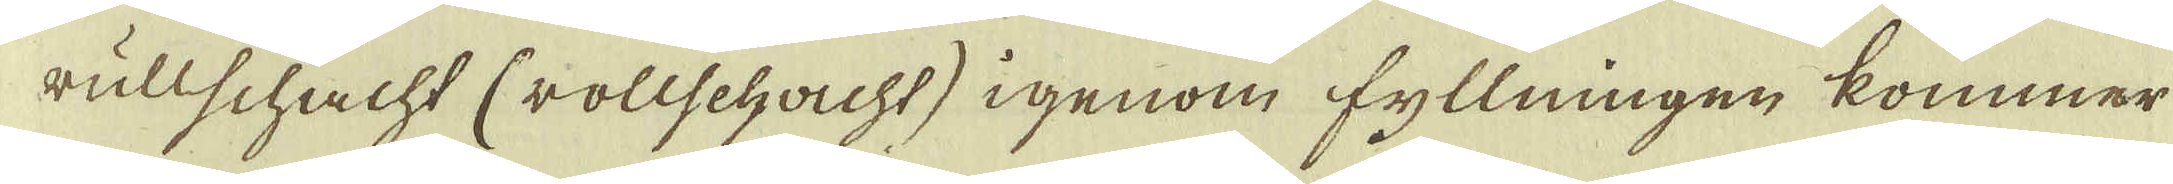rullschacht (rollschacht) igenom fyllningen kommer
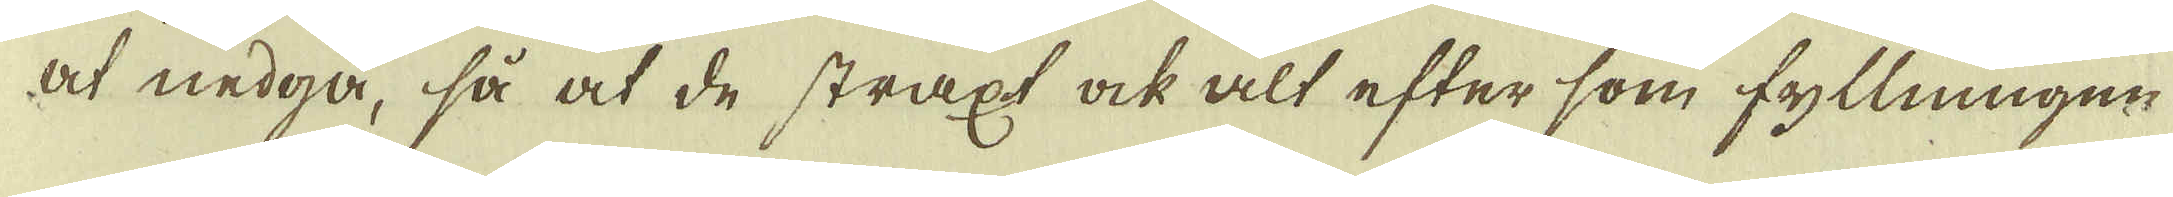at nedgå, så at de straxt ock alt efter som fyllningen
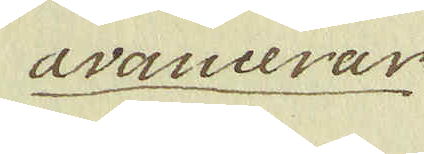avancerar
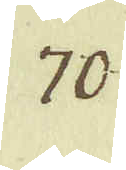70.
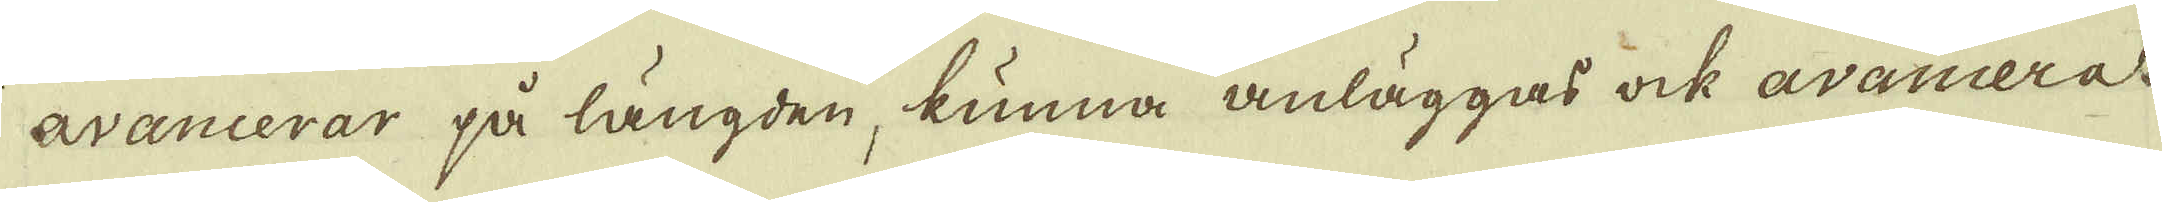avancerar på längden, kunna anläggas ock avancera
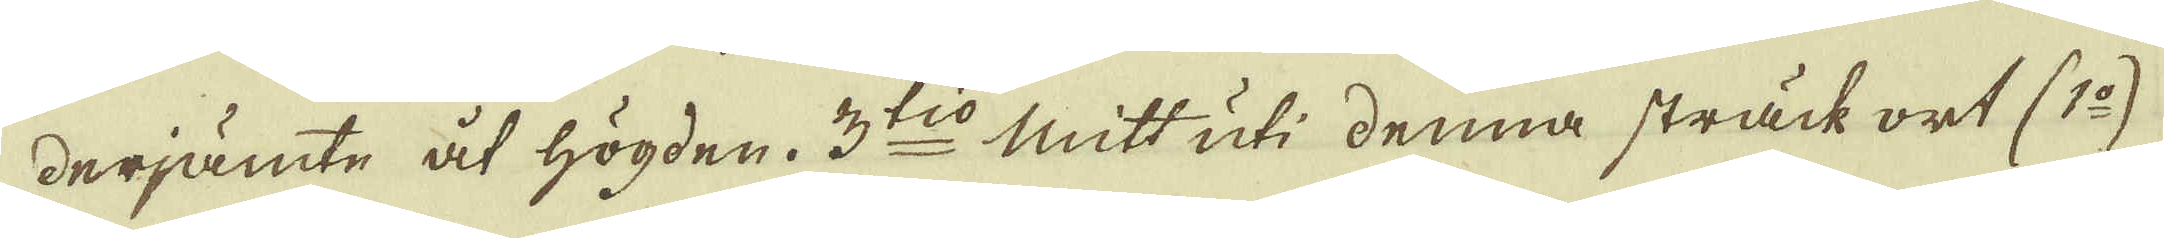derjämte åt högden. 3:tio mitt uti denna sträck ort (1:o)
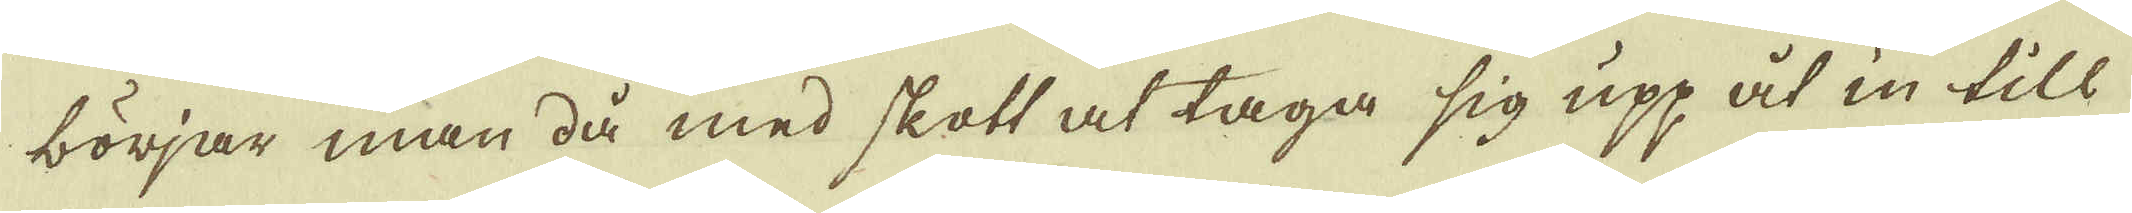börjar man då med skott at taga sig upp åt in till
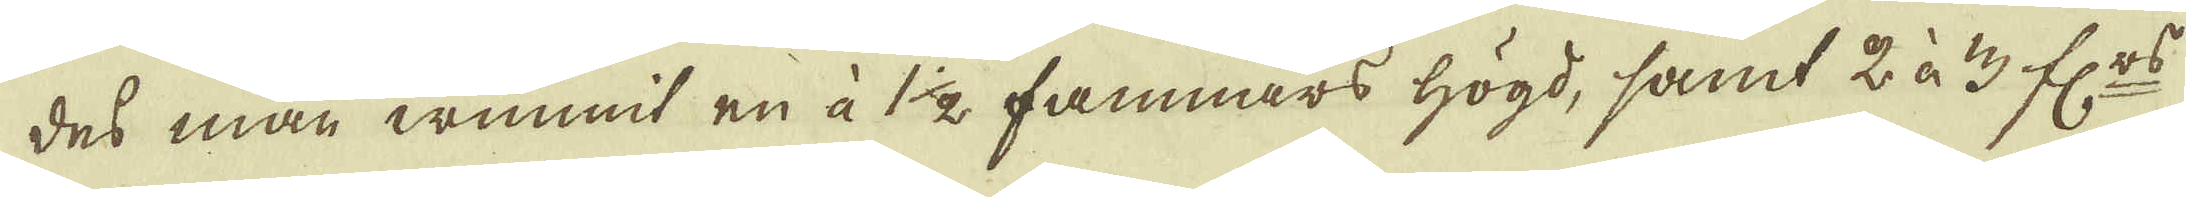des man wunnit en å 1 1/2 famnars högd, samt 2 à 3 f:rs
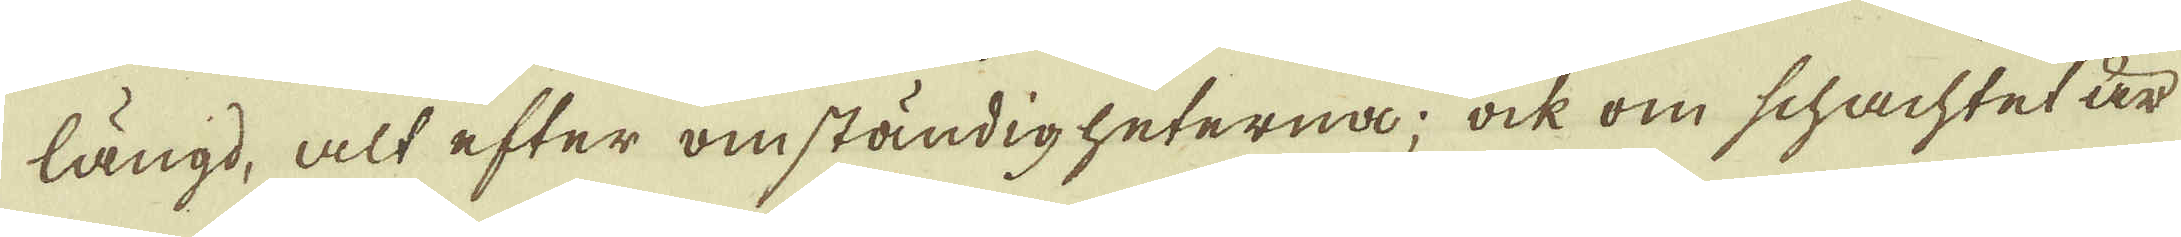längd, alt efter omständigheterna; ock om schachtet är
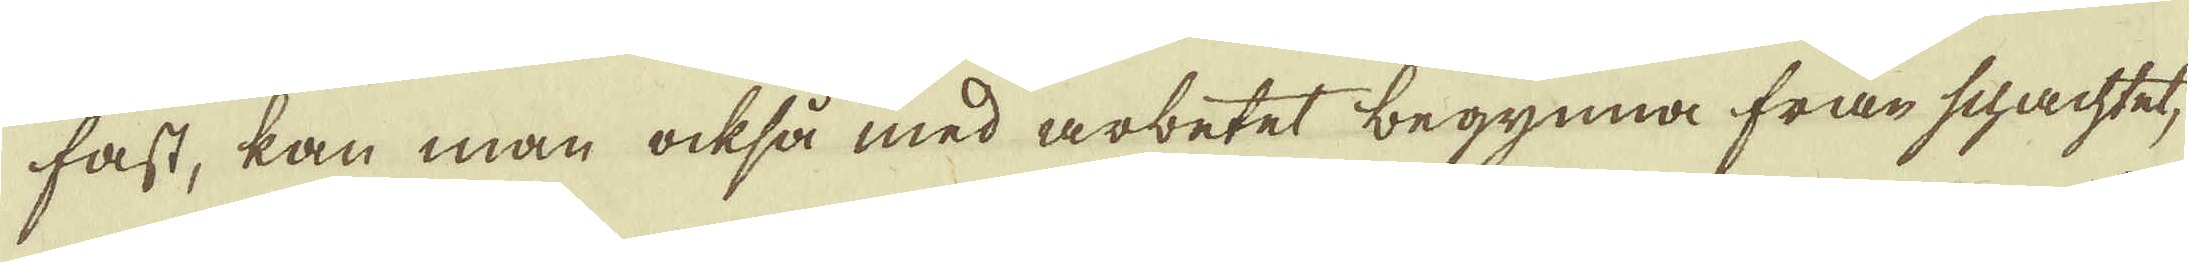fast, kan man också med arbetet begynna från schachtet,
